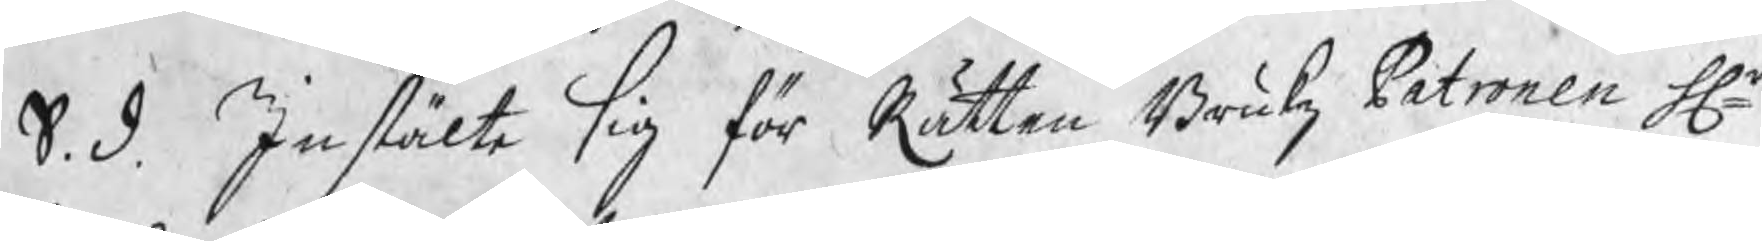S. d. Instälte sig för Rätten Brukz Patronen Hr
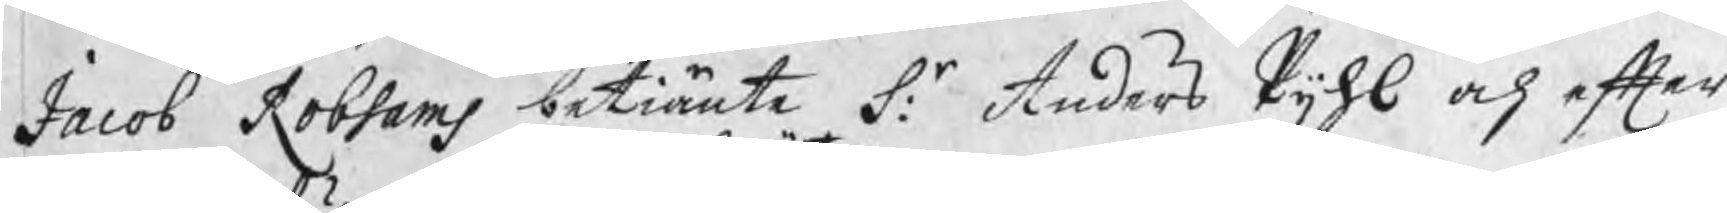Jacob Robsams betiänte S:r Anders Pijhl och efter
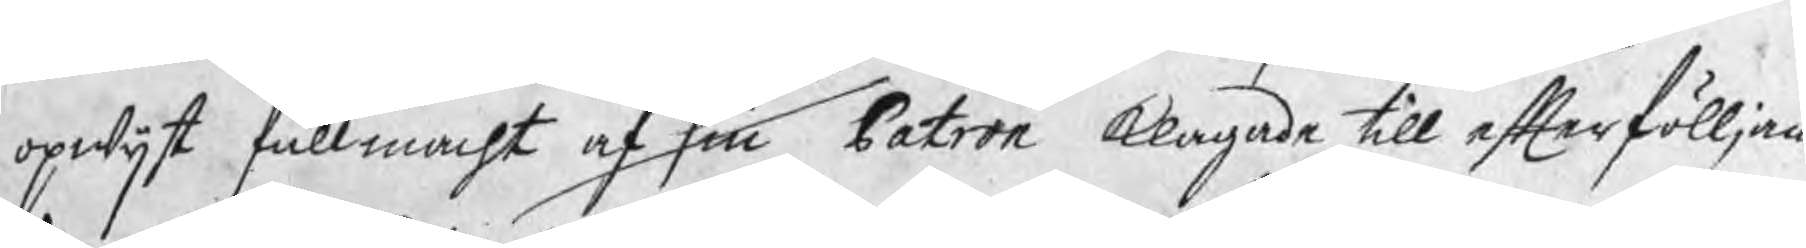opwijst fullmacht af sin Patron klagade till efterfölljan¬
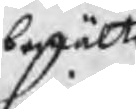begärte
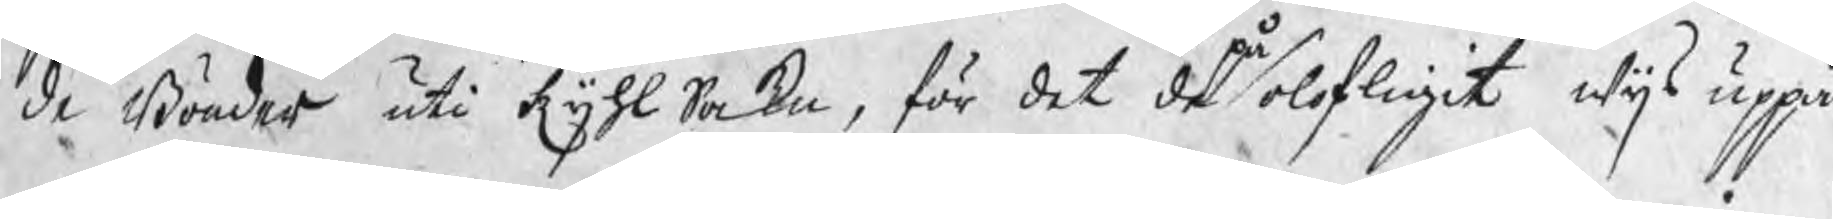de Bönder uti Kijhl Sokn, för det de på olofligit wijs uppå
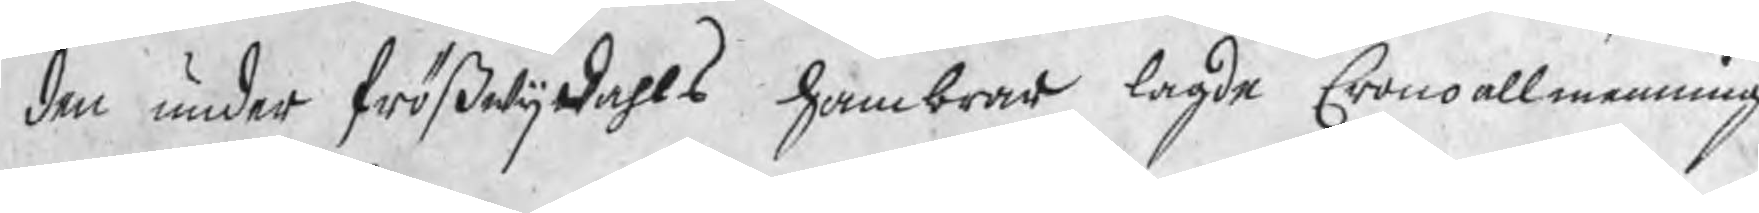den under frößwijdahls hambrar lagde Cronoallmenning
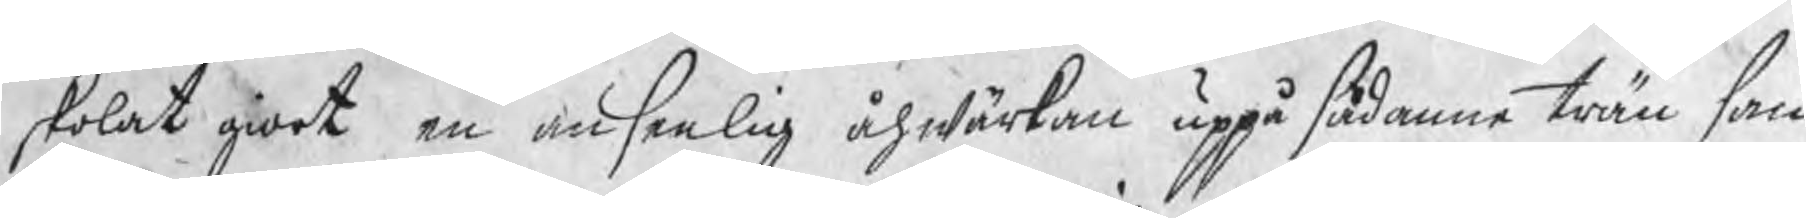skolat giort en ansenlig åhwärkan uppå sådanne trän som
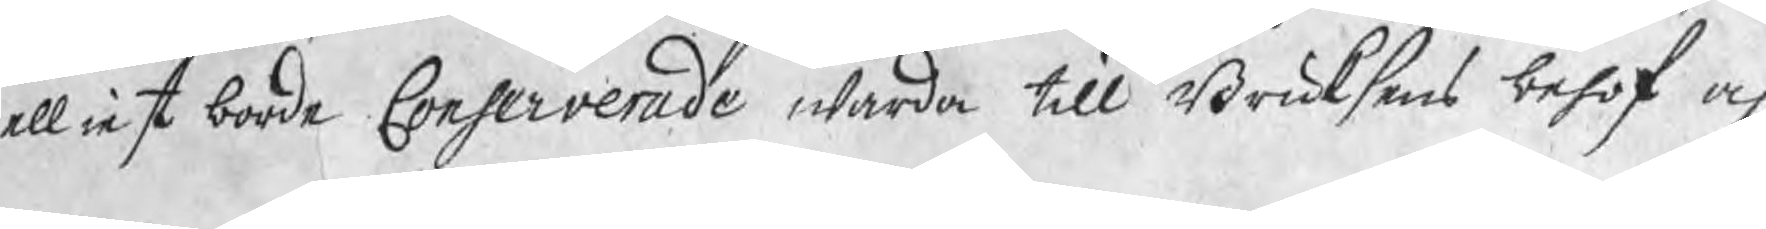elliest borde Conserverade warda till Bruksens behof och
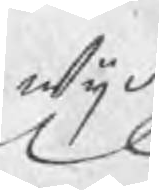wijd
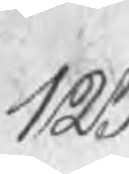123
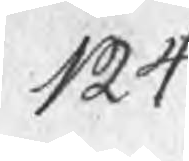124
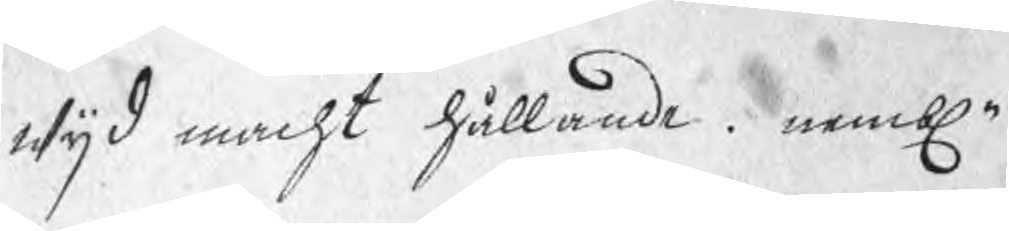wijd macht hållande nembln
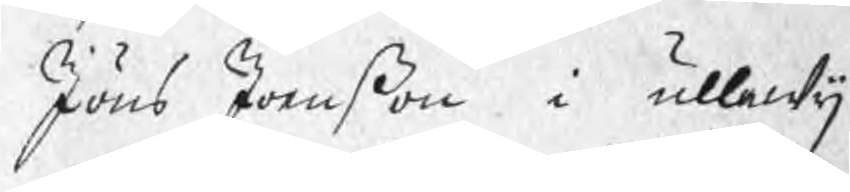Jöns Jonßon i ullewij
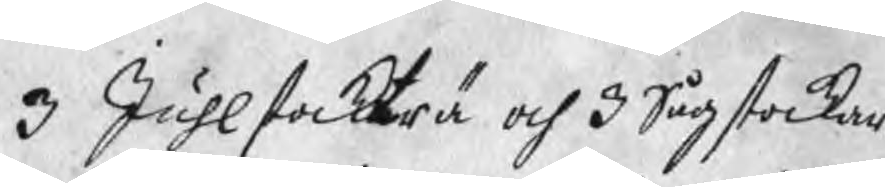3 Juhlstockträ och 3 Sågstockar
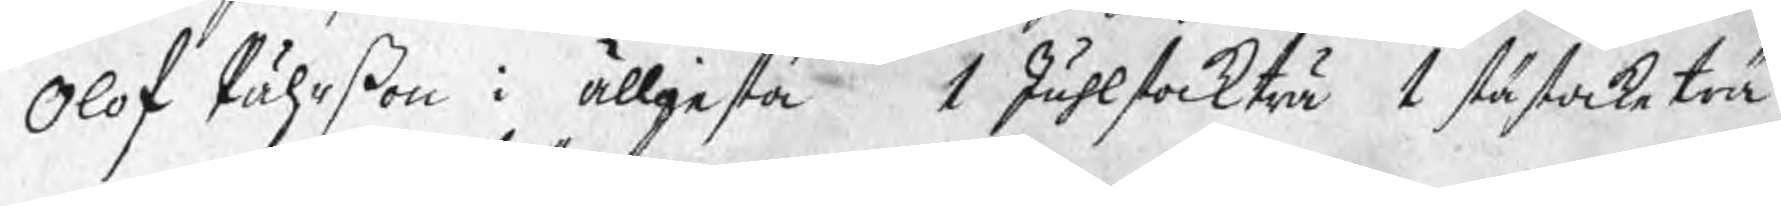Olof Pährßon i ällgesta  1 Juhlstockträ 1 stästocketrä
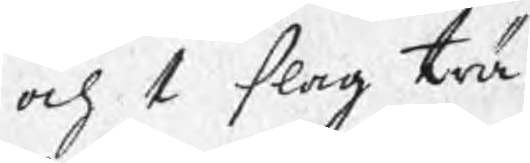och 1 slag trä
